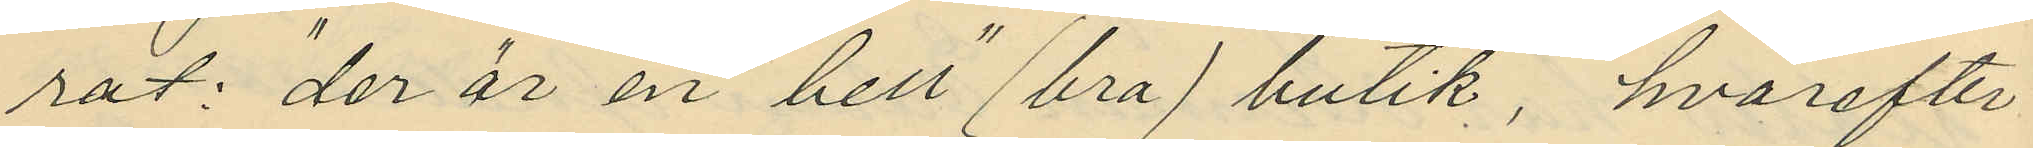rat: "der är en "hell" (bra) butik", hvarefter
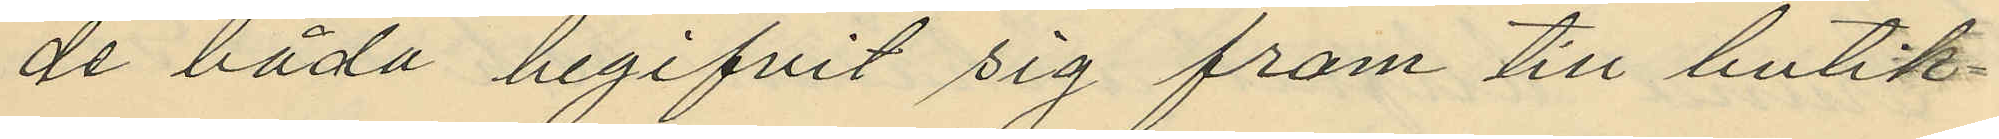de båda begifvit sig fram till butik¬
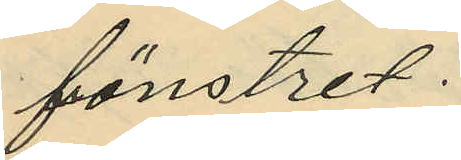fönstret.
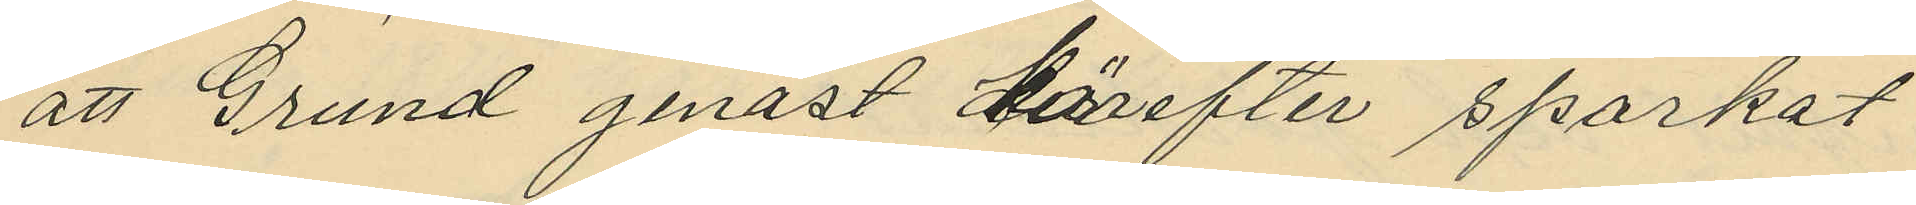att Grund genast derefter sparkat
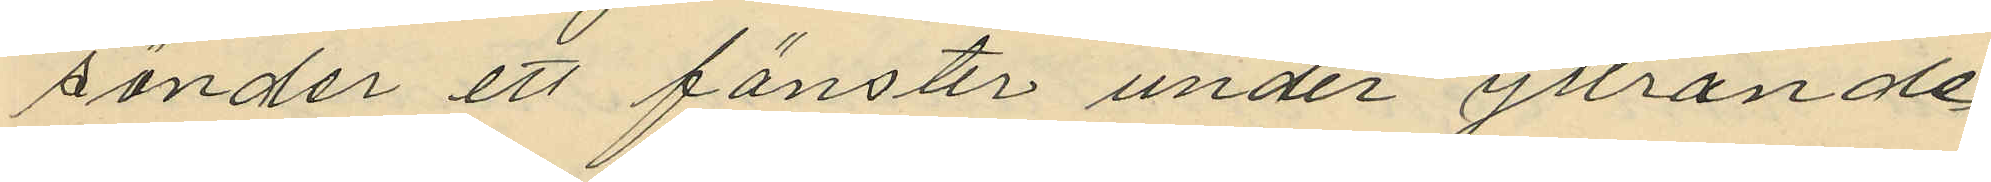sönder ett fönster under yttrande
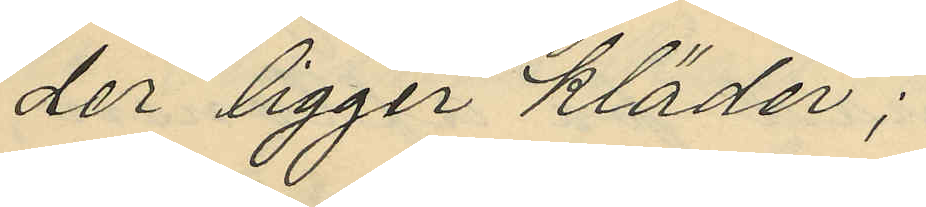"der ligger kläder";
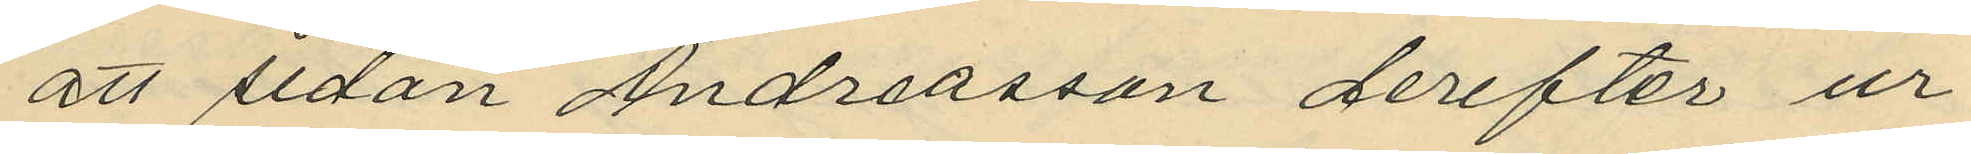att sedan Andreasson derefter ur
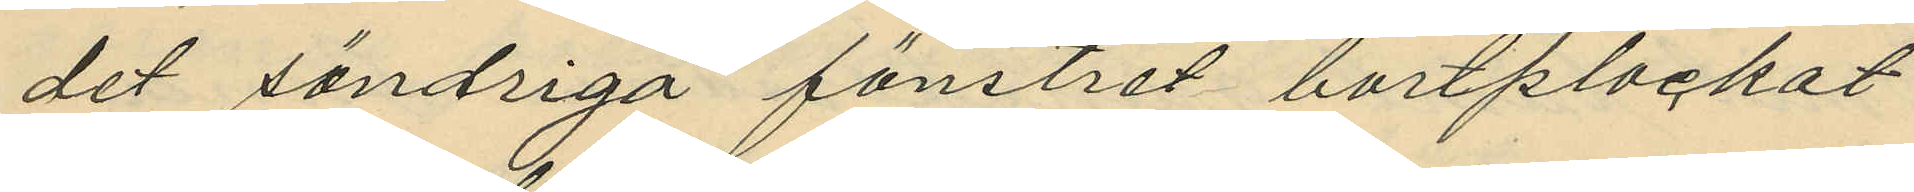det söndriga fönstret bortplockat
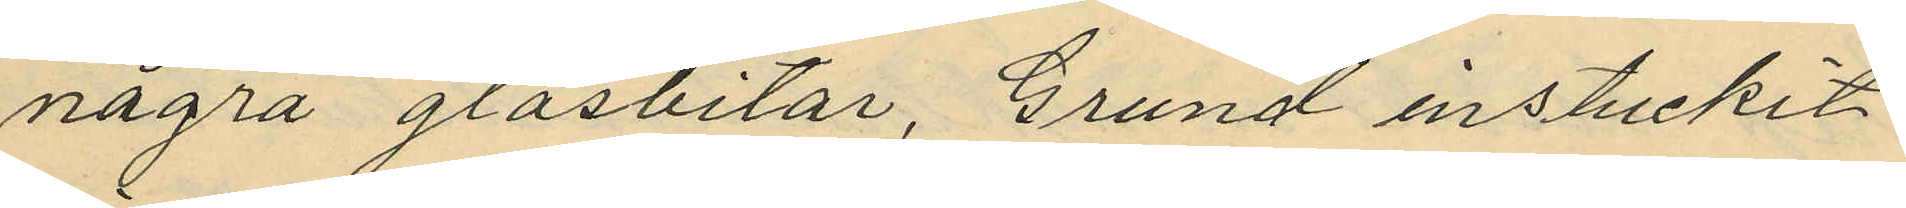några glasbitar, Grund instuckit
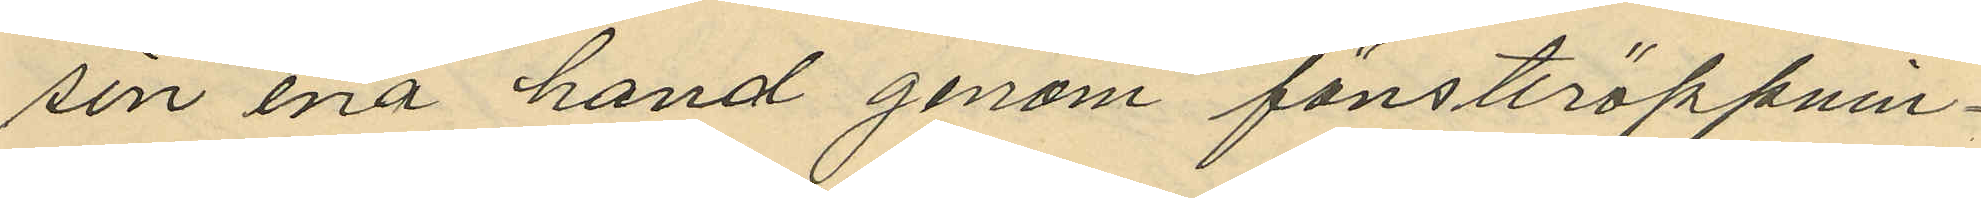sin ena hand genom fönsteröppnin¬
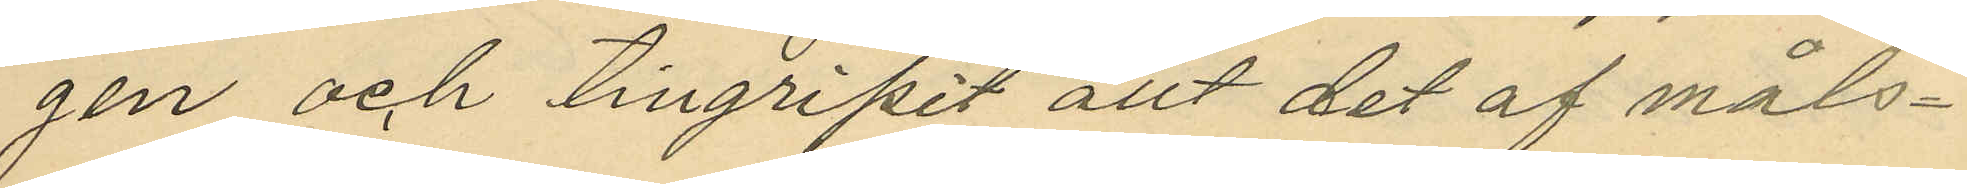gen och tillgripit allt det af måls¬
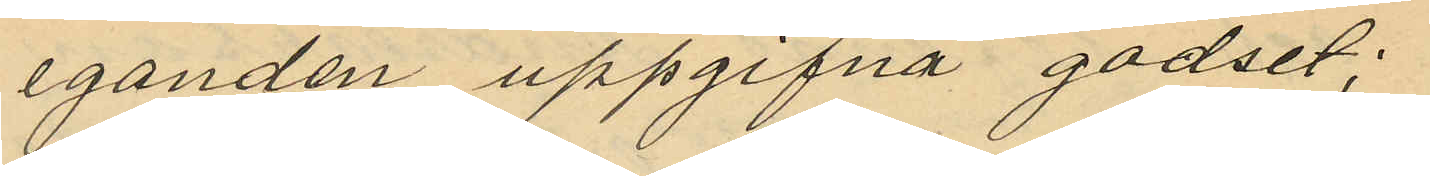eganden uppgifna godset;
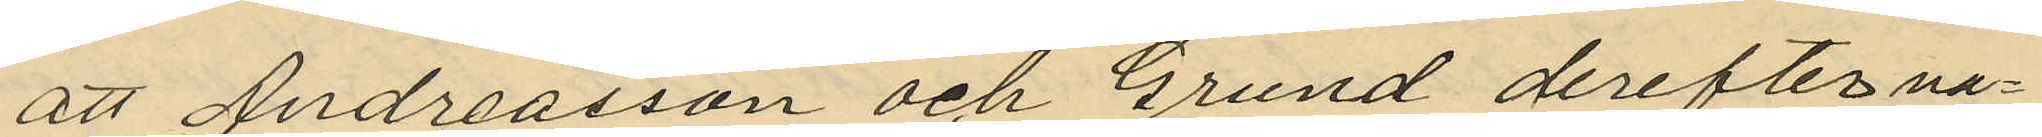att Andreasson och Grund derefter va¬
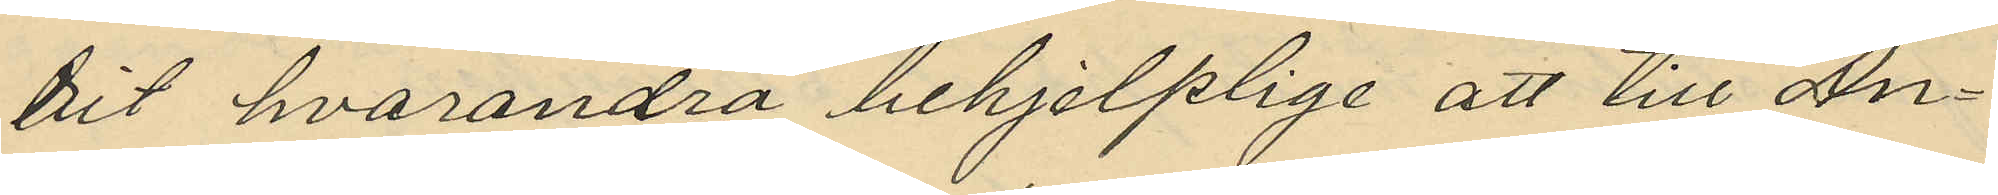rit hvarandra behjelplige att till An¬
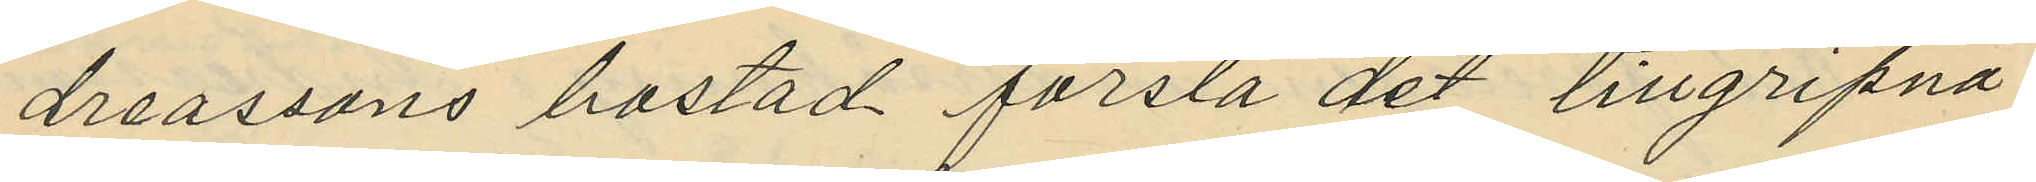dreassons bostad forsla det tillgripna
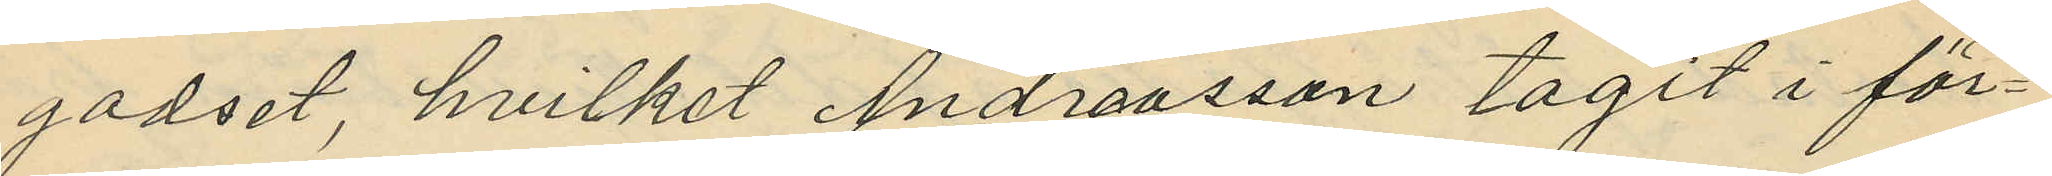godset, hvilket Andreasson tagit i för¬
